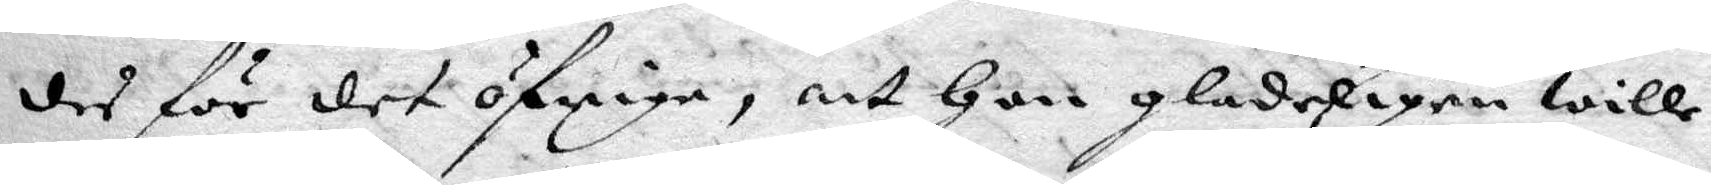des för det öfriga, att hon gladeligen wille
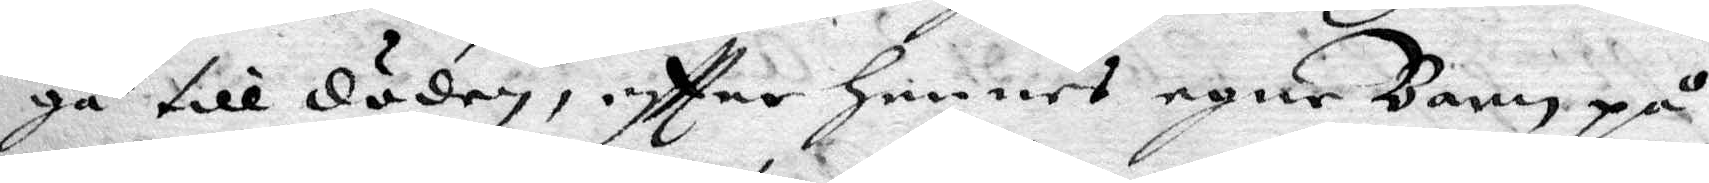gå till döden, eftter hennes egne Barn på
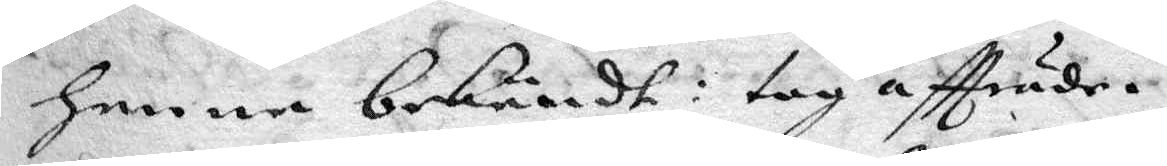henne bekändt: tog aftträde.
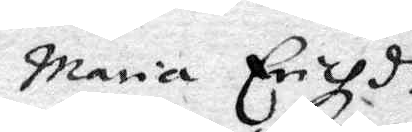Maria Erichdr
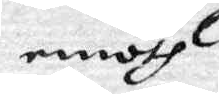emoth
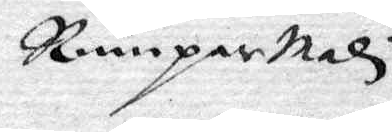Rumpare Malin
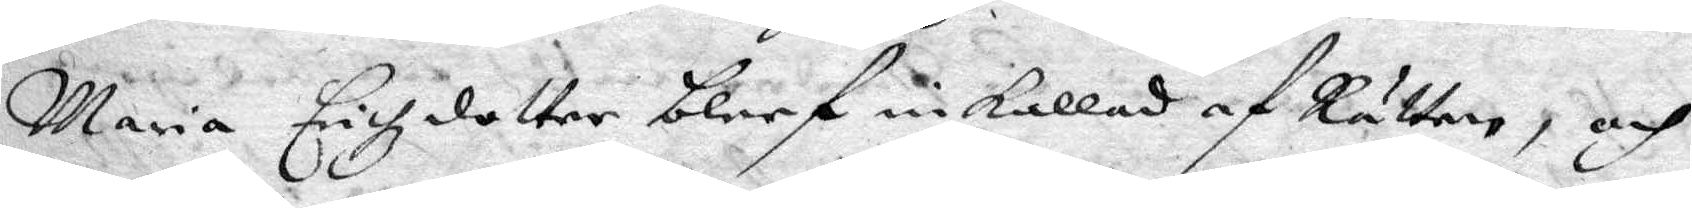Maria Erichzdotter bleef inkallad af Rätten, och
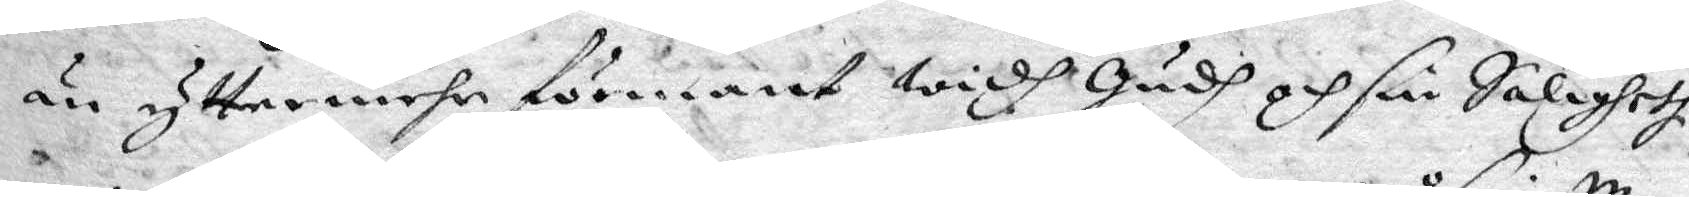än yttermehr förmant widh gudh och sin Saligheth
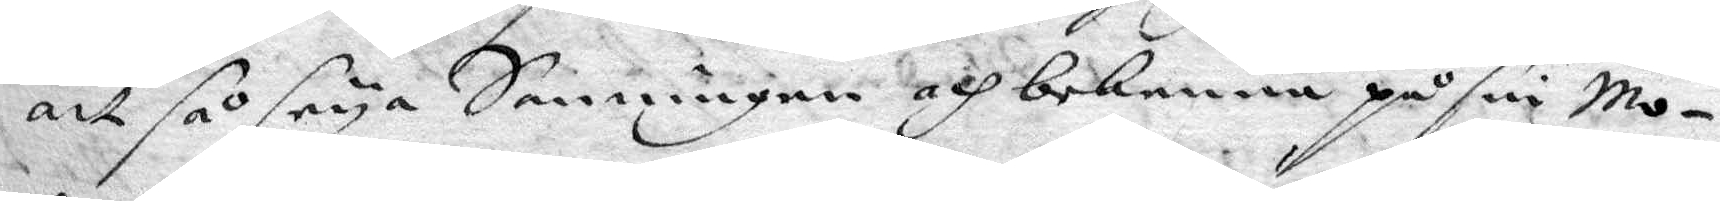att så seya Sanningen och bekenna på sin Mo¬
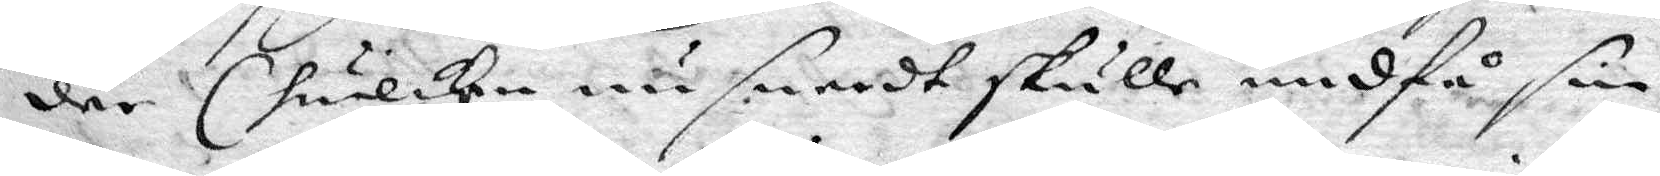der (hwilken nu snardt skulle undfå sin
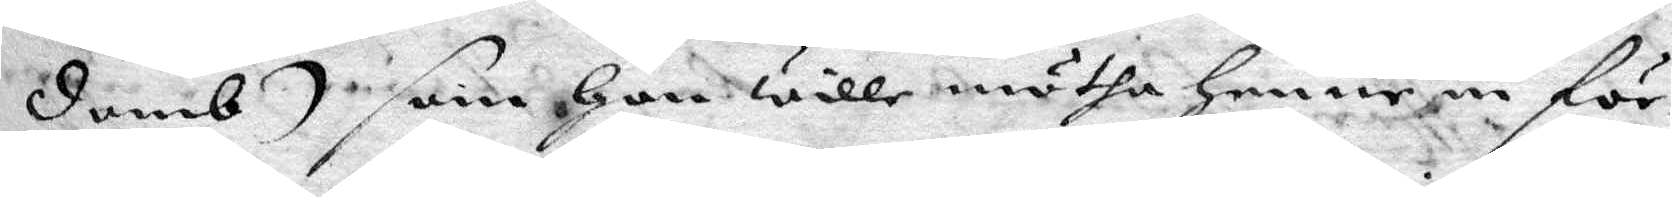domb) som hon wille mötha henne in för
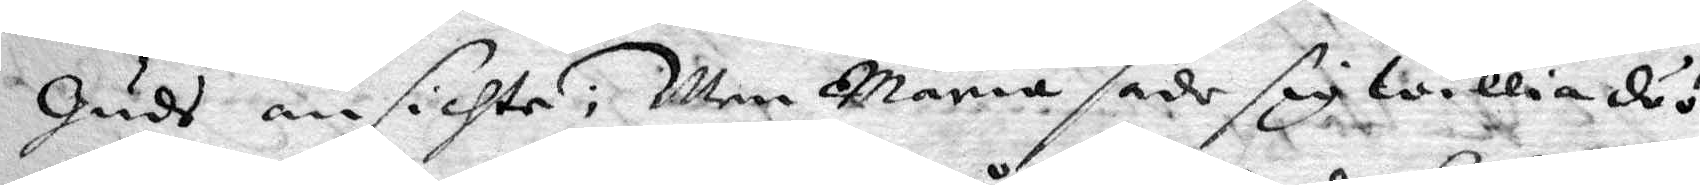guds ansichte; Men Maria sade sig willia döö
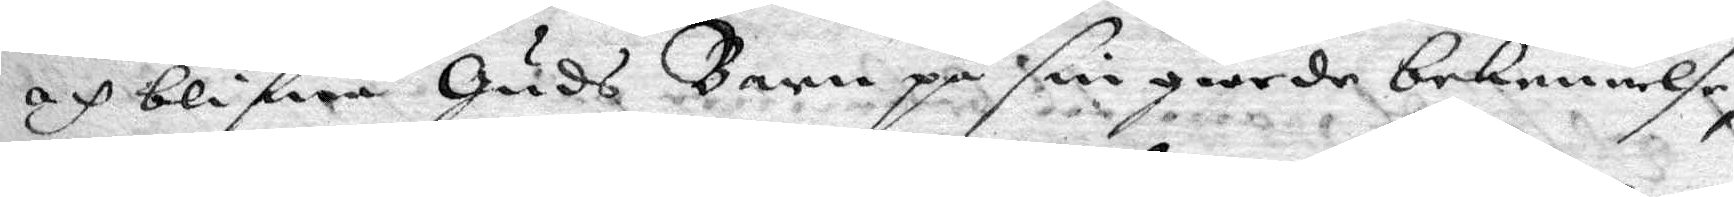och blifwa Guds barn på sin giorde bekennelse,
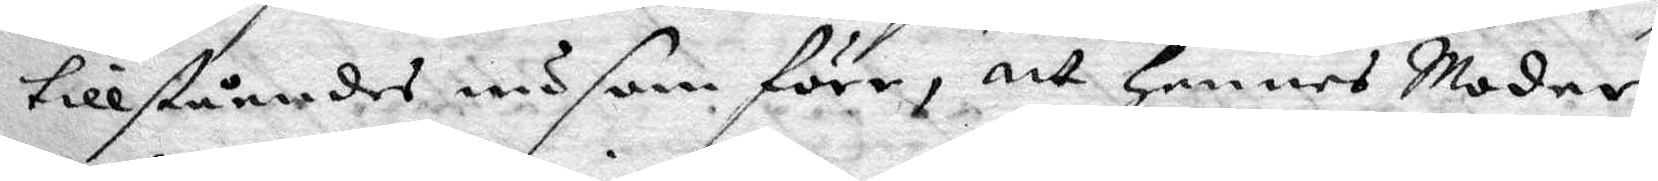tillståendes nu som förr, att hennes Moder
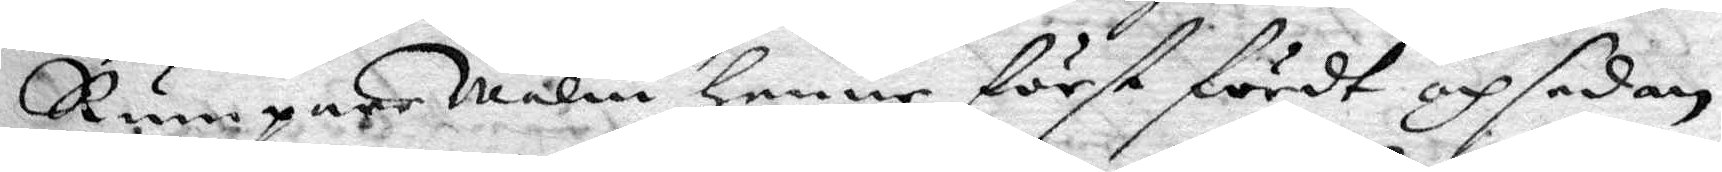RumpareMalin henne först fördt och sedan
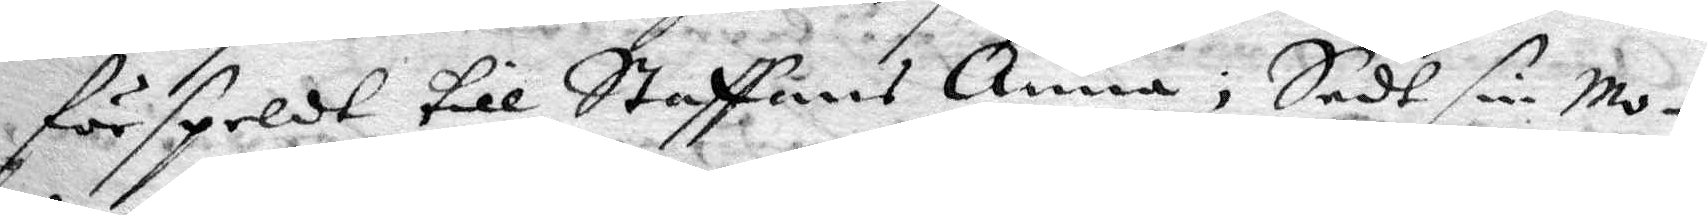förspeldt till Staffans Anna; Sedt sin Mo¬
